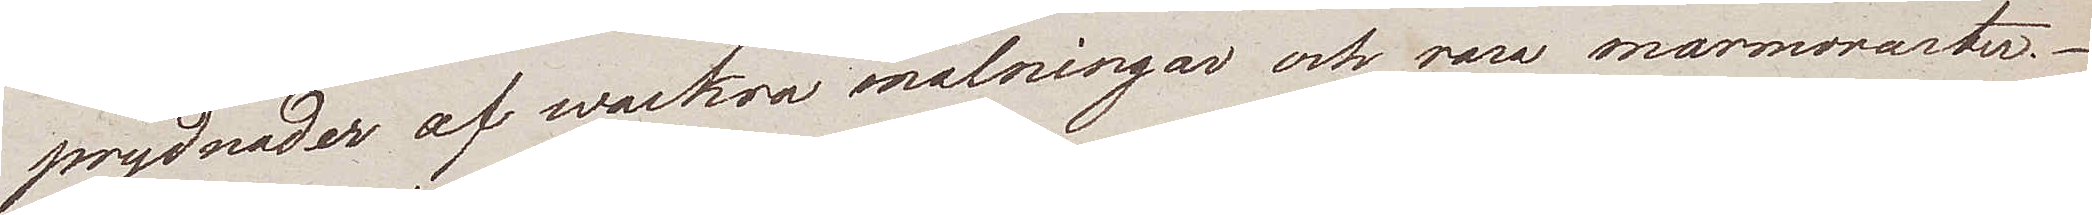prydnader af wackra målningar och rara marmorarter.
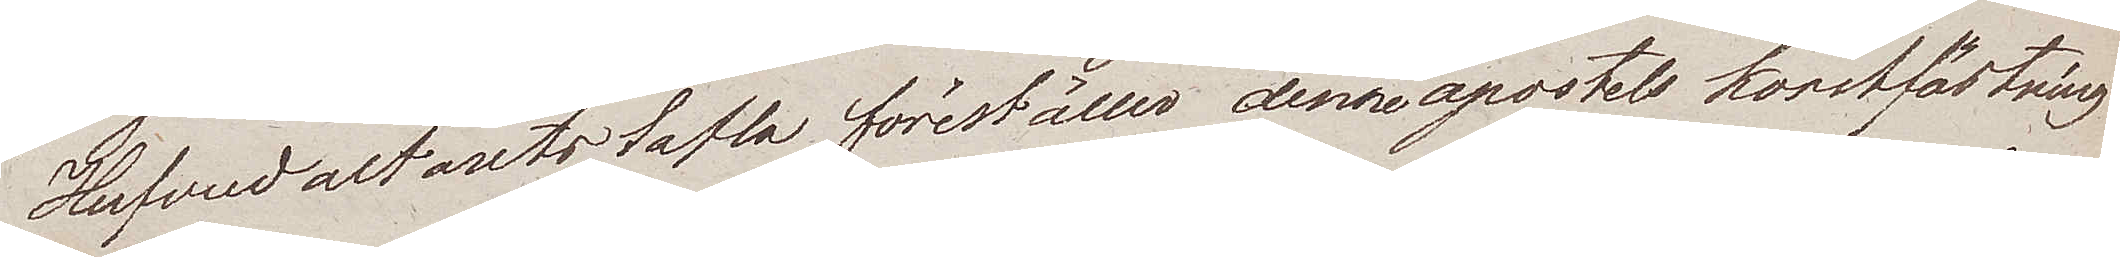Hufvudaltarets tafla föreställer denne apostels korstfästning
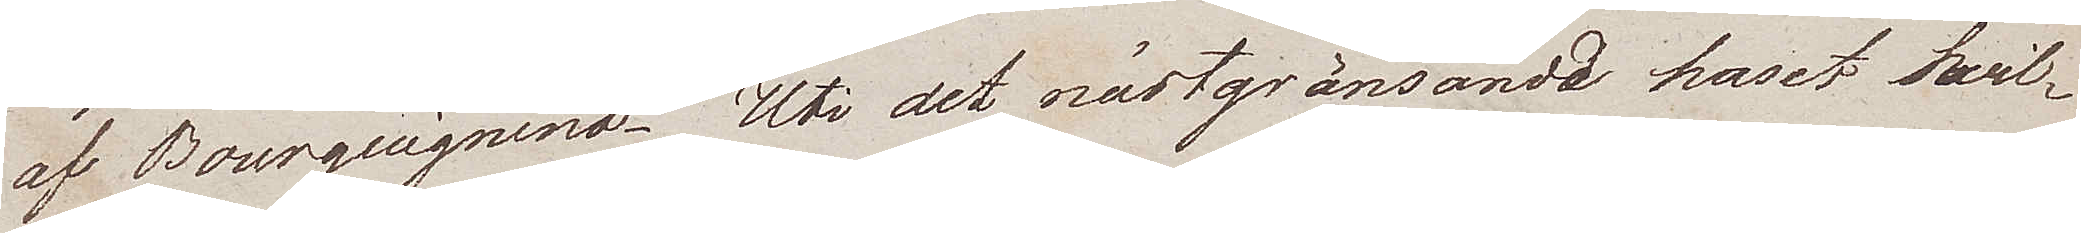af Bourguignino. Uti det nästgränsande huset hwil¬
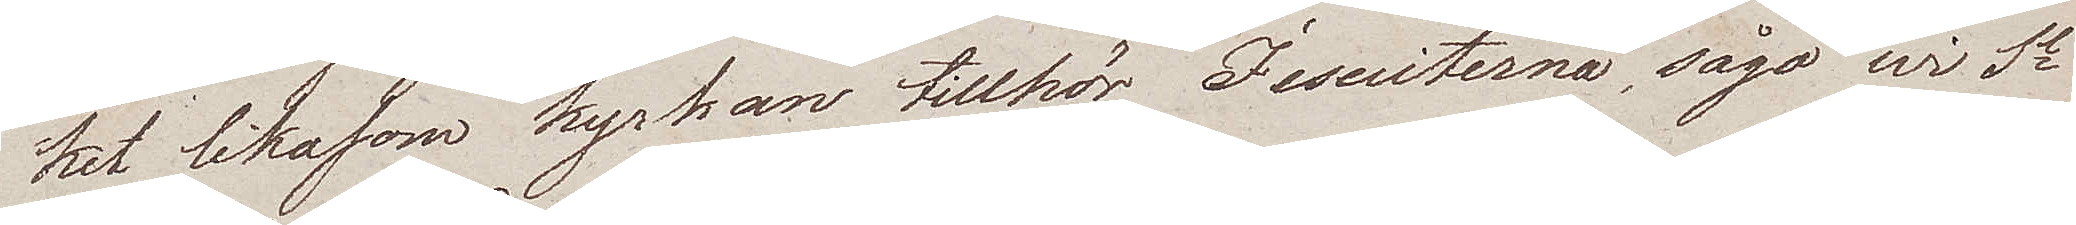ket likasom kyrkan tillhör Jesuiterna, sågo wi St
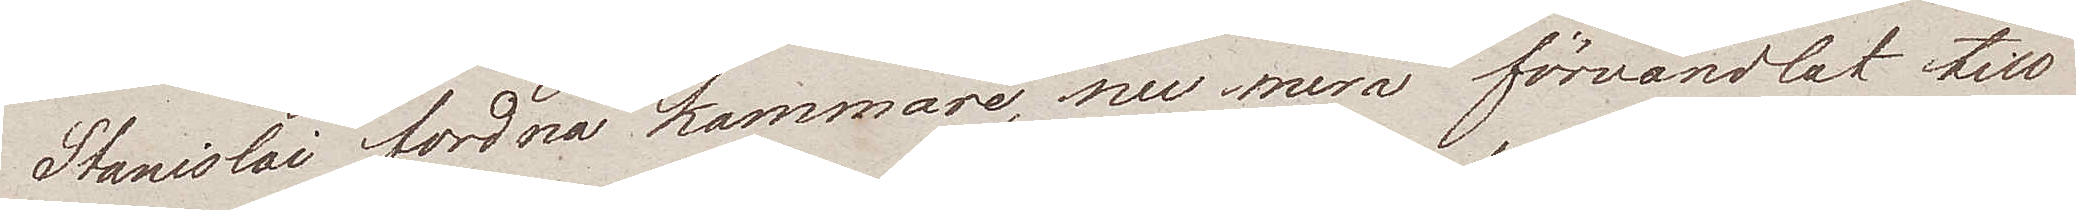Stanislai fordna kammare, nu mera förvandlat till
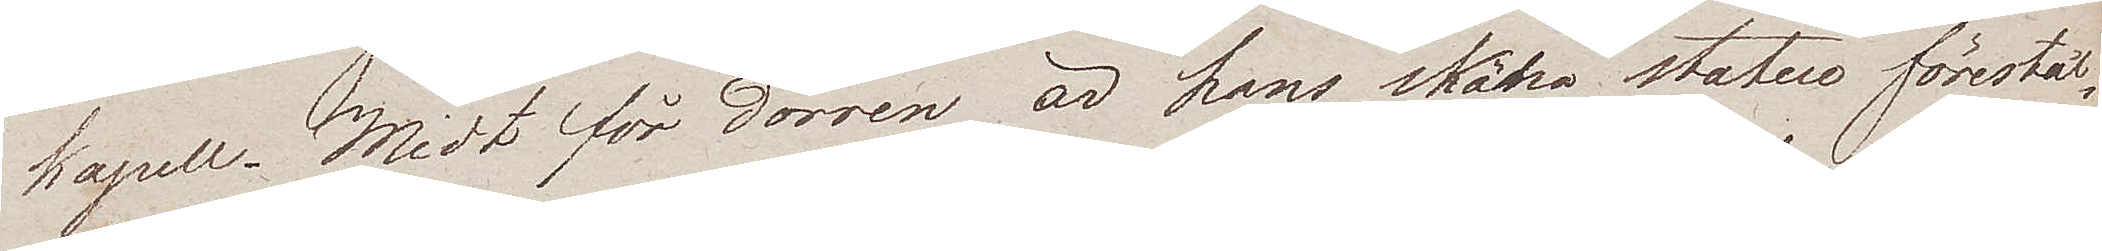kapell. Midt för dörren är hans sköna statue förestäl¬
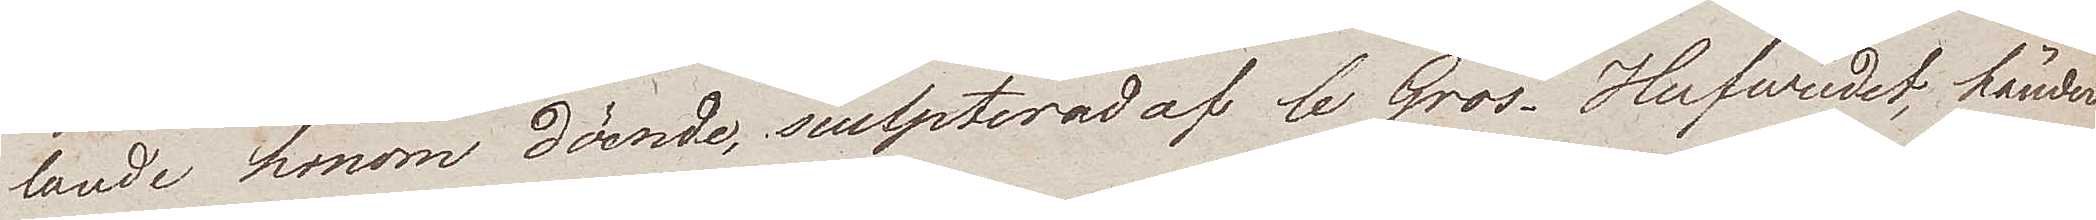lande honom döende, sculpterad af le Gros. Hufvudet, händer
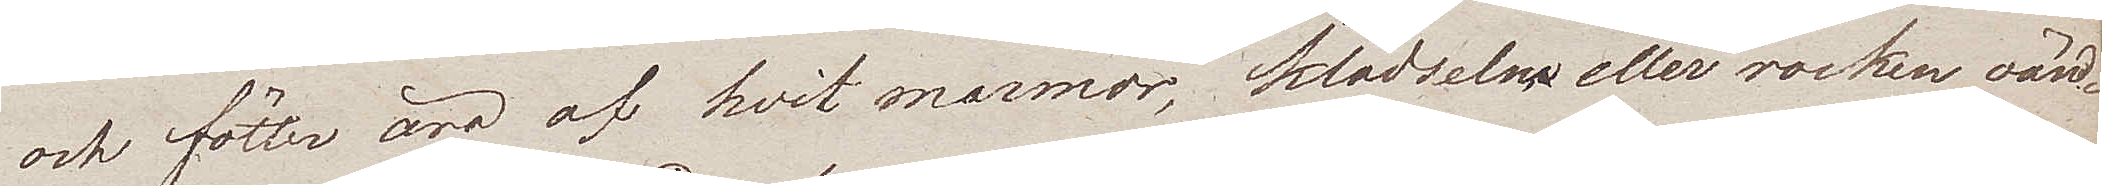och fötter äro af hvit marmor, klädselne eller rocken oän¬
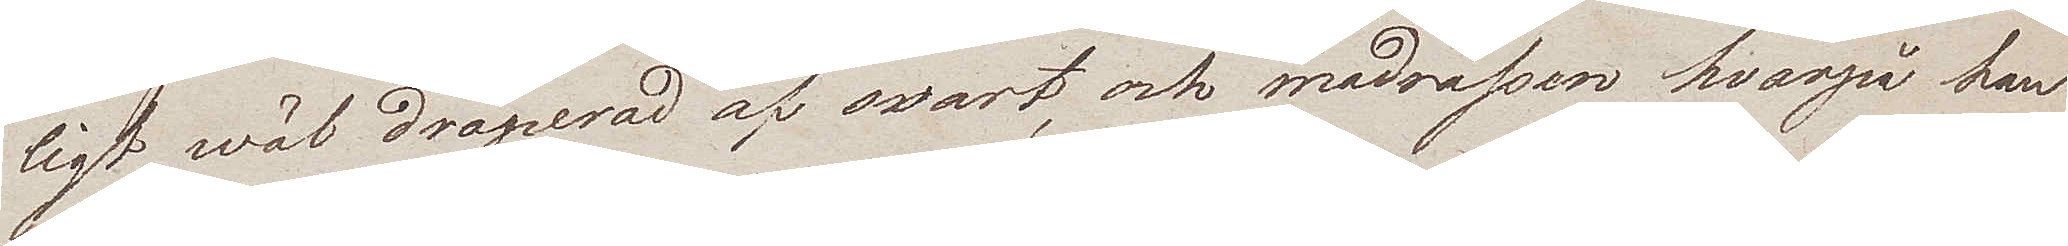ligt wäl draperad af svart, och madrassen hvarpå han
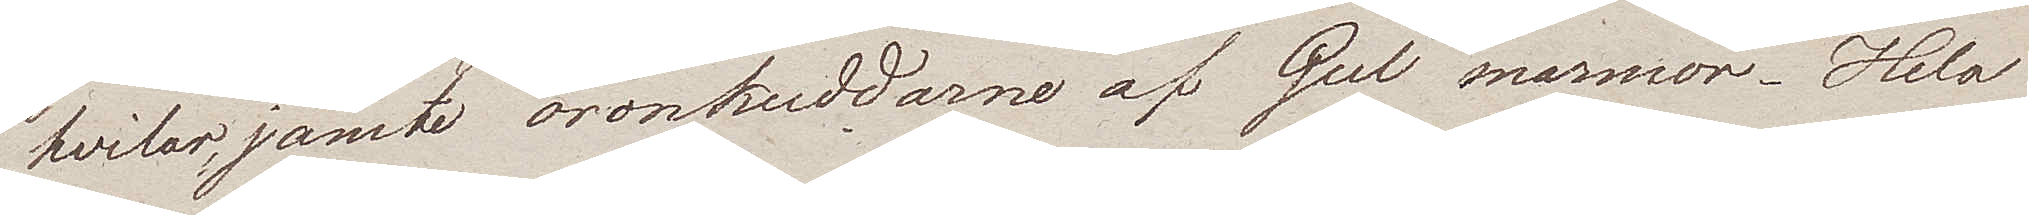hvilar, jämte öronkuddarne af Gul marmor. Hela
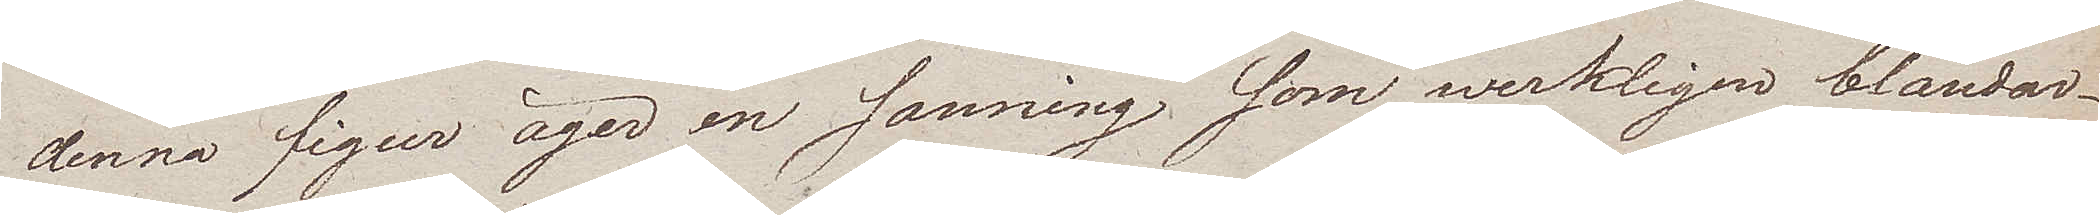denna figur äger en sanning, som werkligen bländar
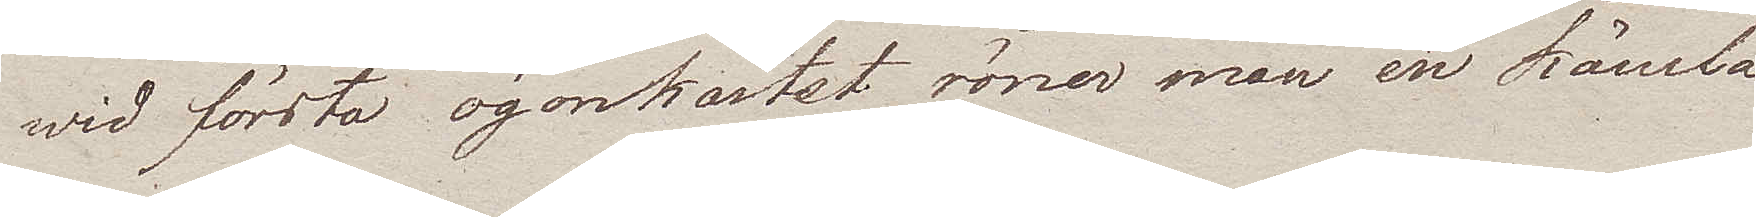wid första ögonkastet röner man en känsla¬
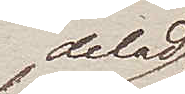delad
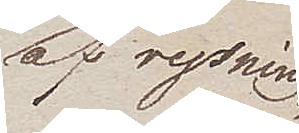af rysning
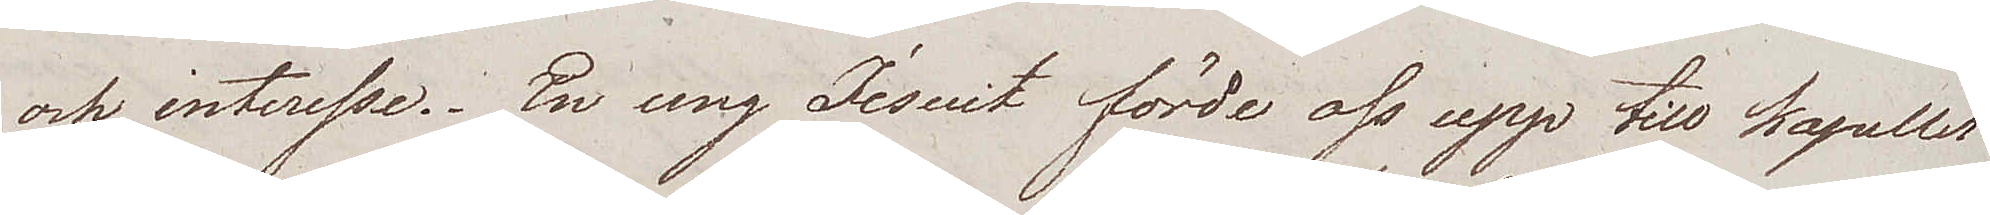och interesse. En ung Jesuit förde oss upp till Kapellet
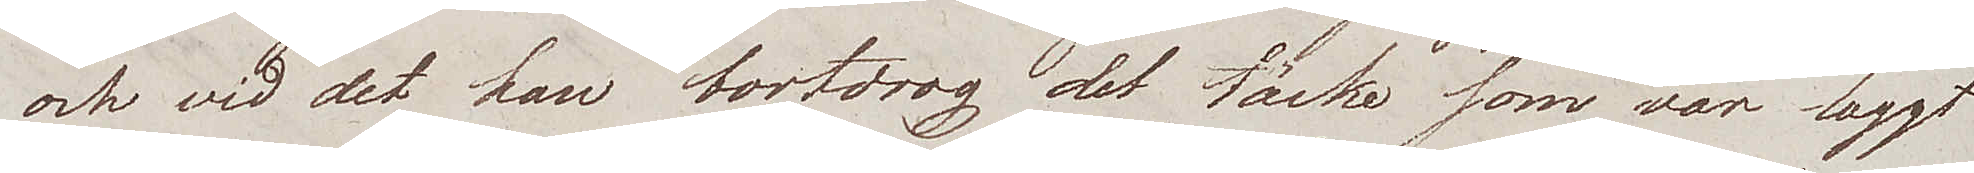och vid det han bortdrog det täcke som var laggt
